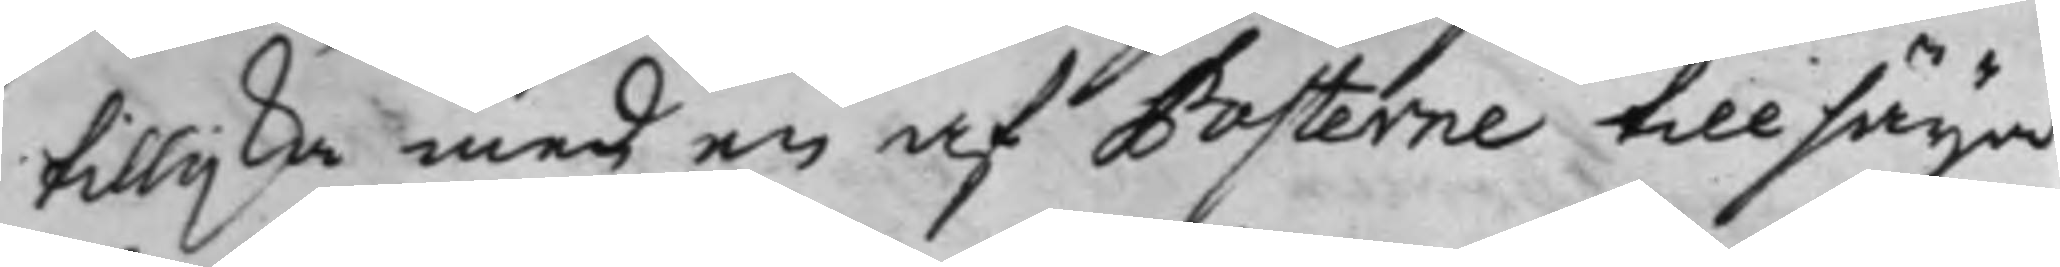tillijka med en af Posterne tillsäga
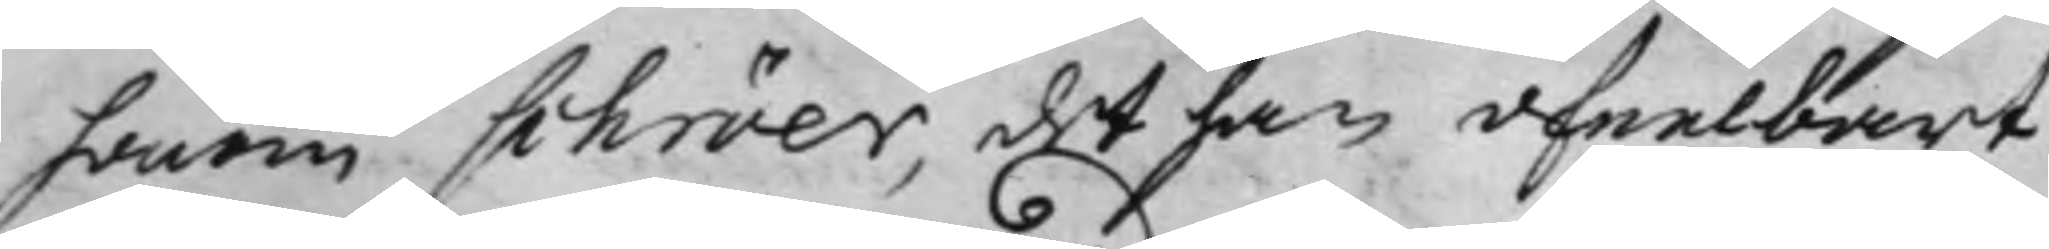honom schröer, det han ofeelbart
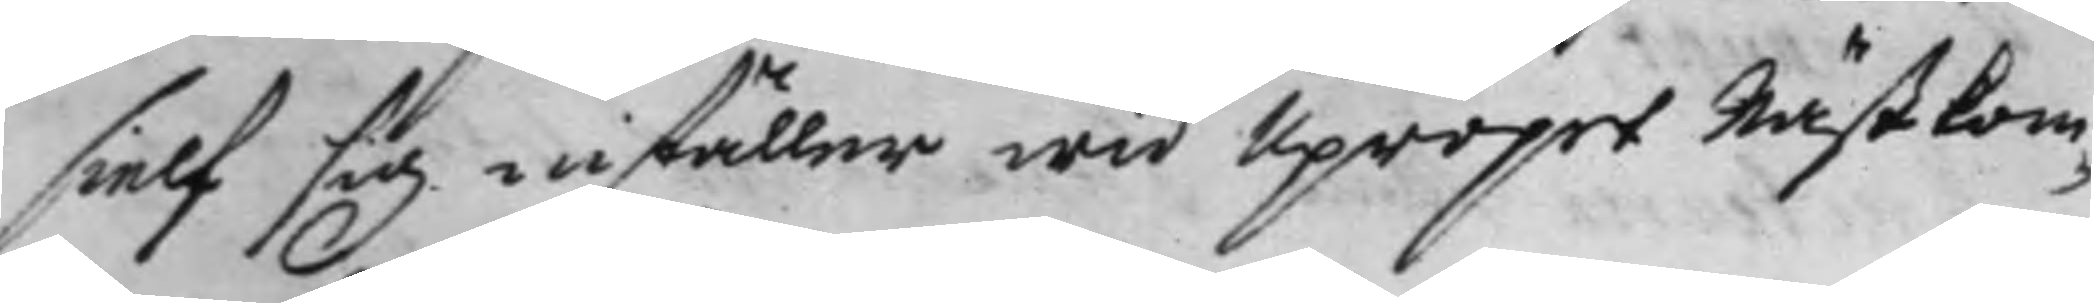sielf sig inställer wid Upropet Nästkom¬
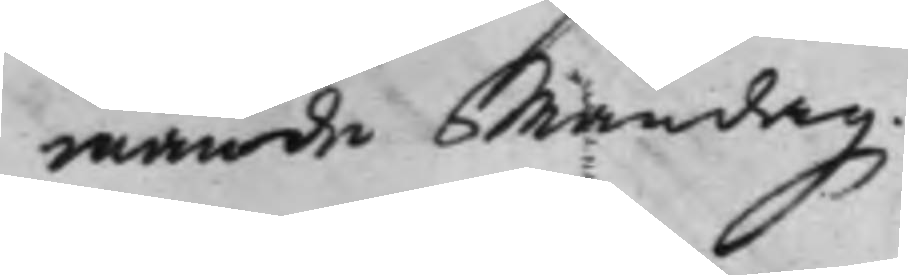mande Måndag.
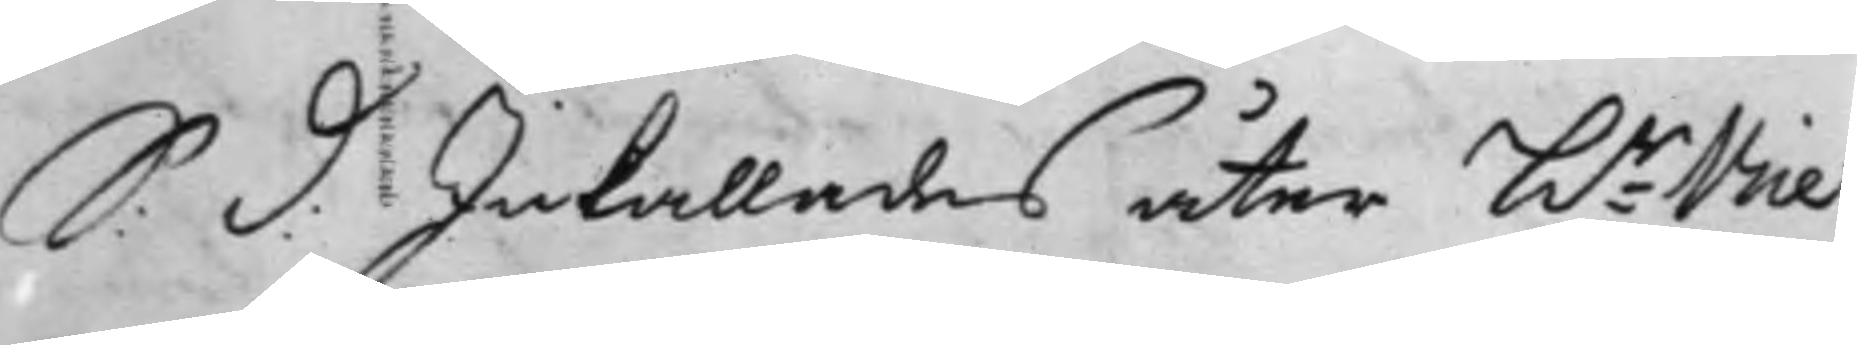S: d: Inkallades åter hr Vice
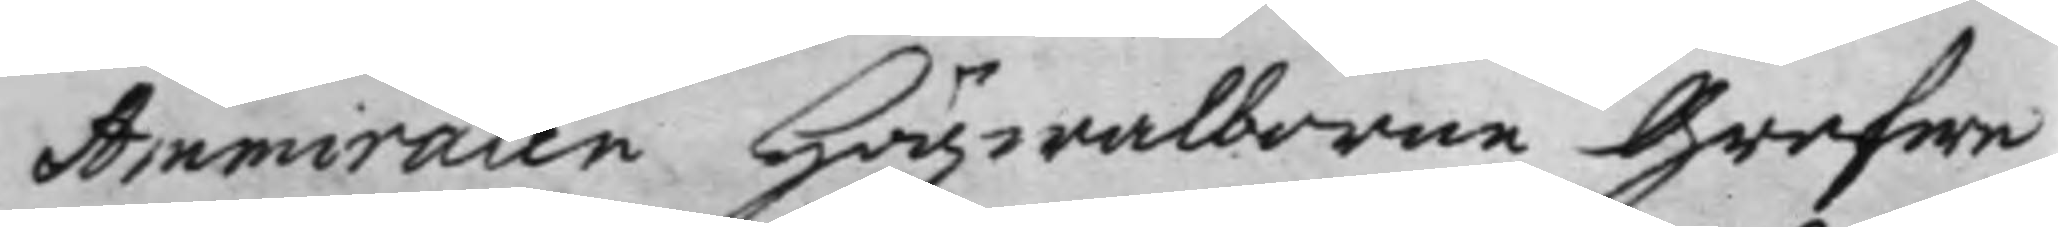Ammiralen Högwalborne Grefwe
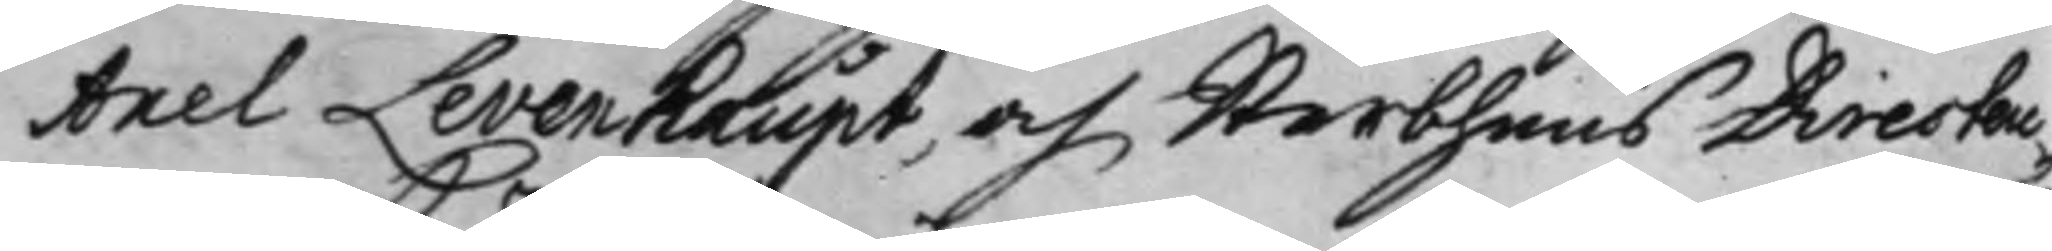Axel Levenhaupt, och Sterbhuus Directeu¬
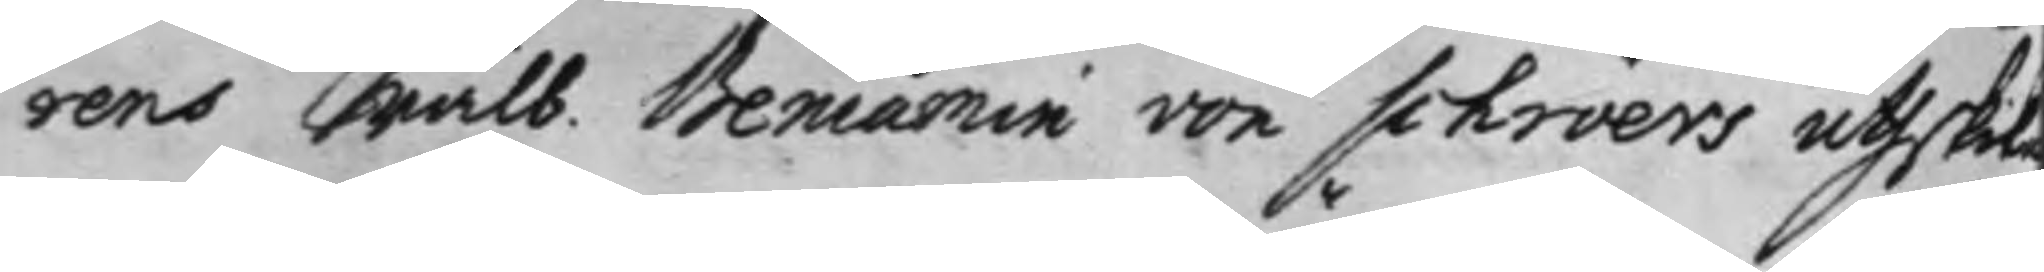rens Wälb. Beniamin von schröers uthski
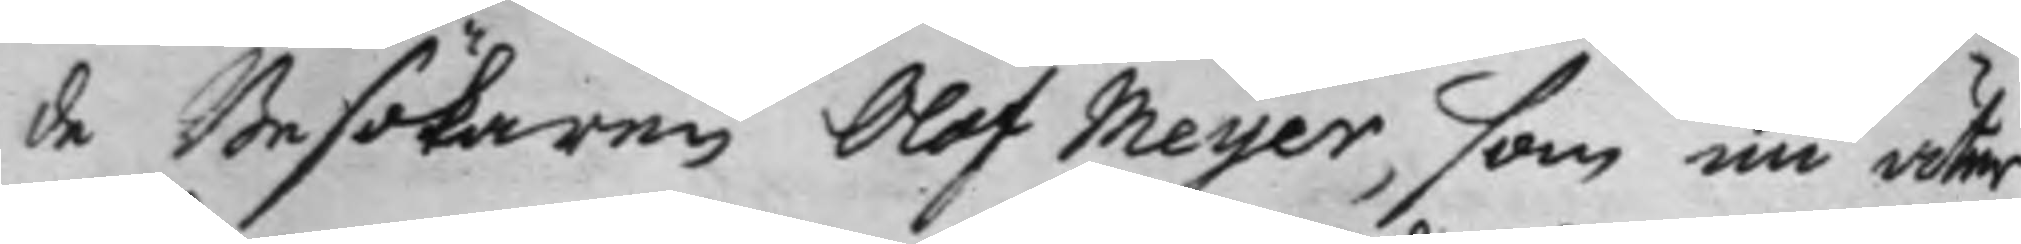de Besökaren Olof Meyer, som nu åter
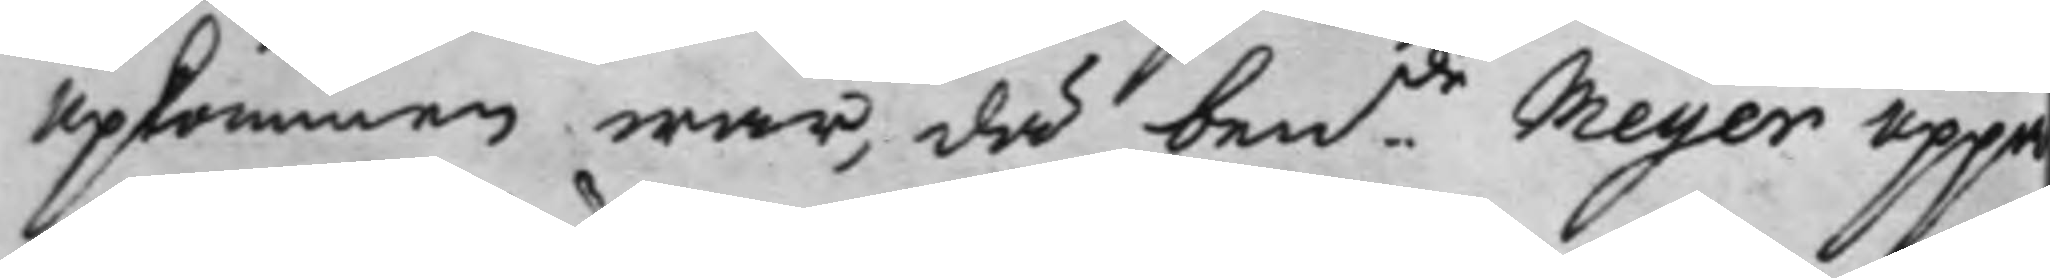upkommen war, då bende Meyer uppå
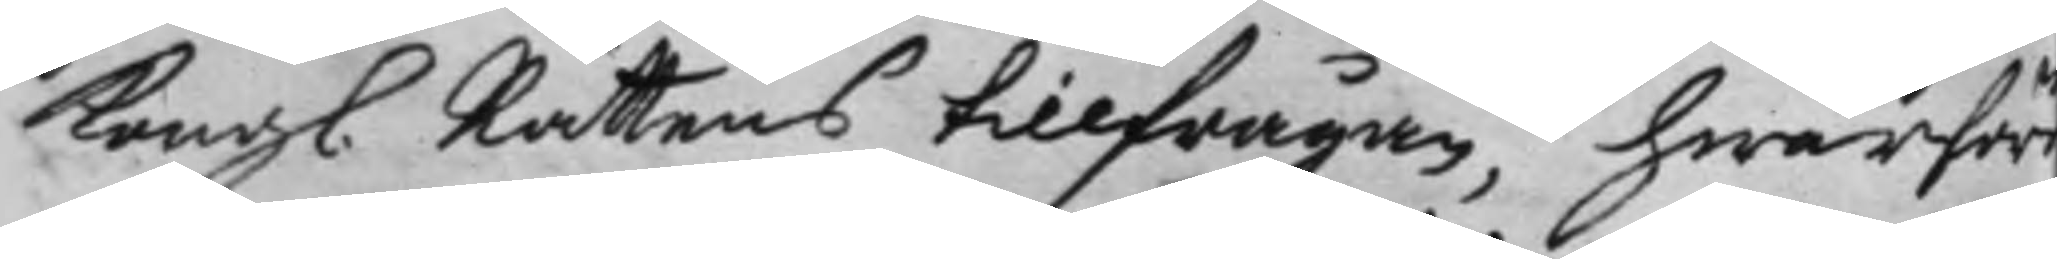Kongl. Rättens tillfrågan, hwarföre
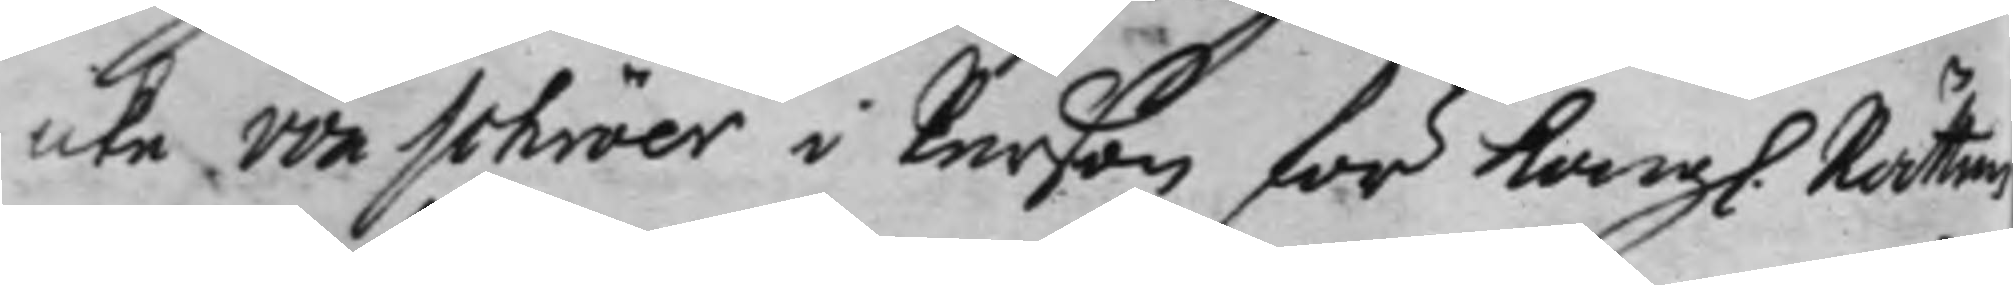icke von schröer i Person för Kongl. Rätten
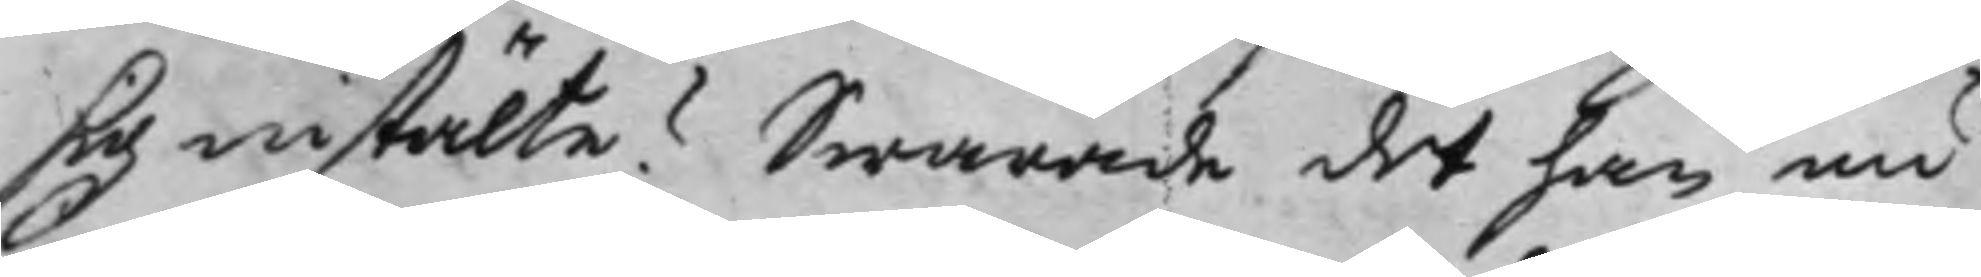sig instälte? Swarade det han nu
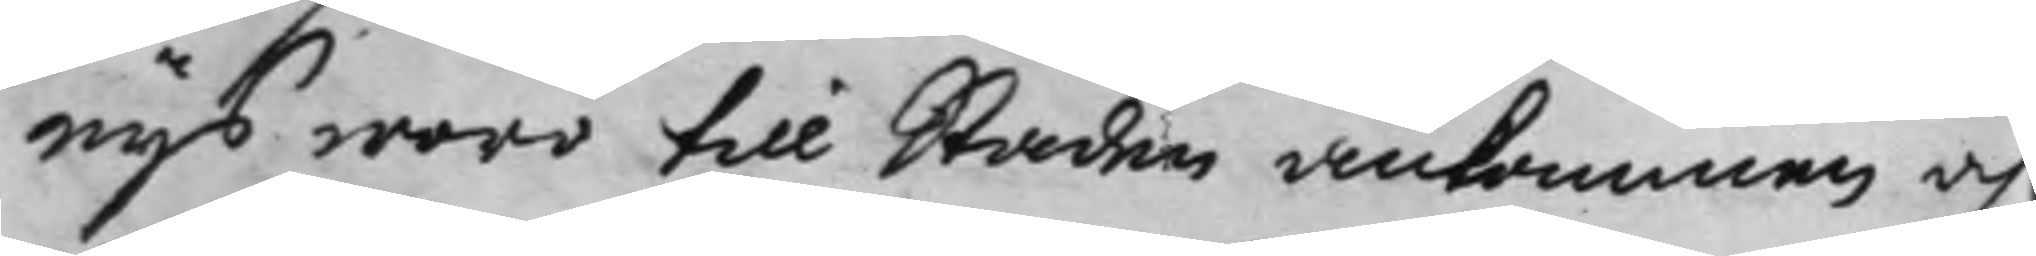nys woro till Staden ankommen och
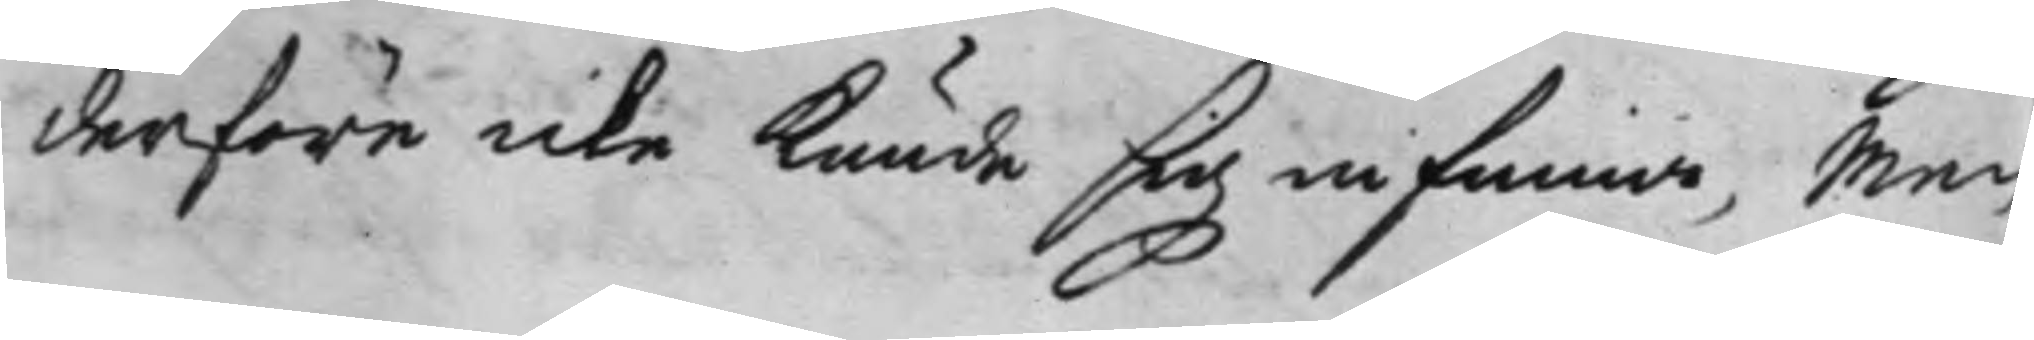derföre icke kunde sig infinna, Men 
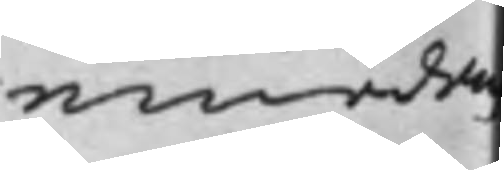emedan
